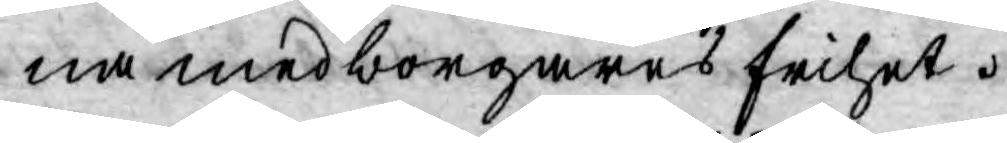na medborgares frihet.
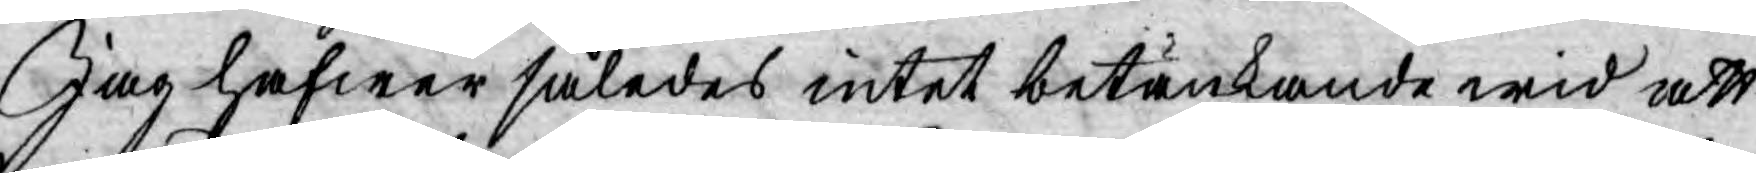Jag hafwer således intet betänkande wid att
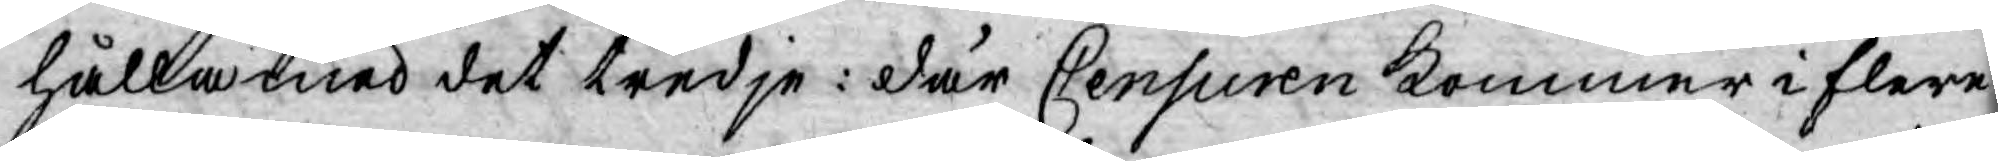hålla med det tredje: där Censuren kommer i flere
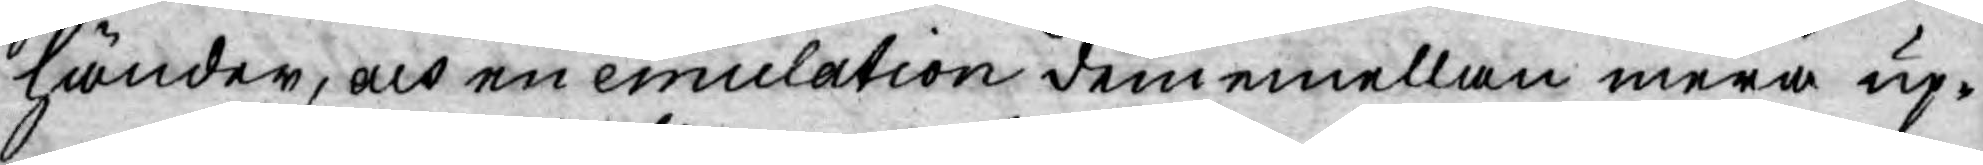händer, och en emulation dem emellan mera up¬
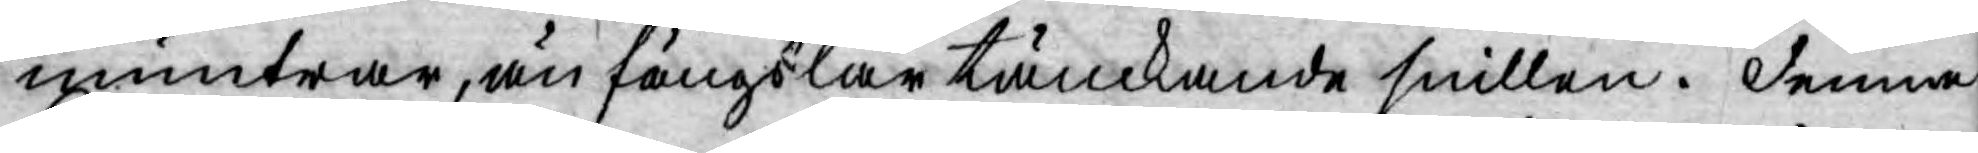muntrar, än fängslar tänckande snillen. denna
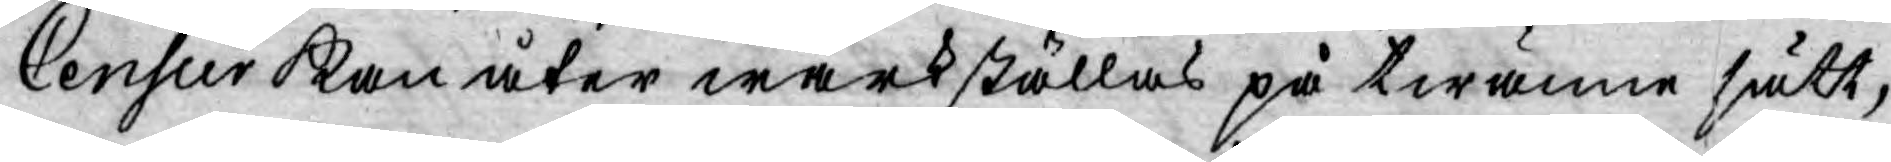Censur kan åter wärkställas på twänne sätt,
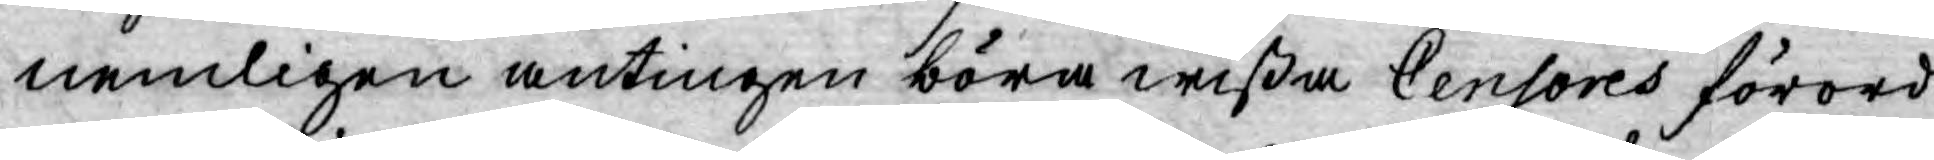nemligen antingen böra wißa Censores förord¬
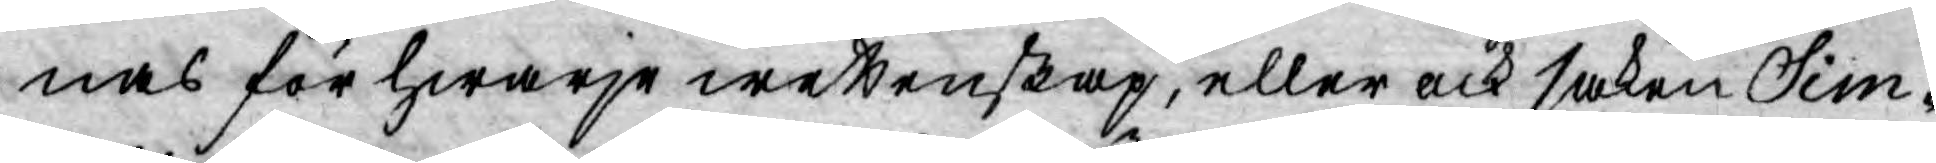nas för hwarje wettenskap, eller ock saken Sim¬
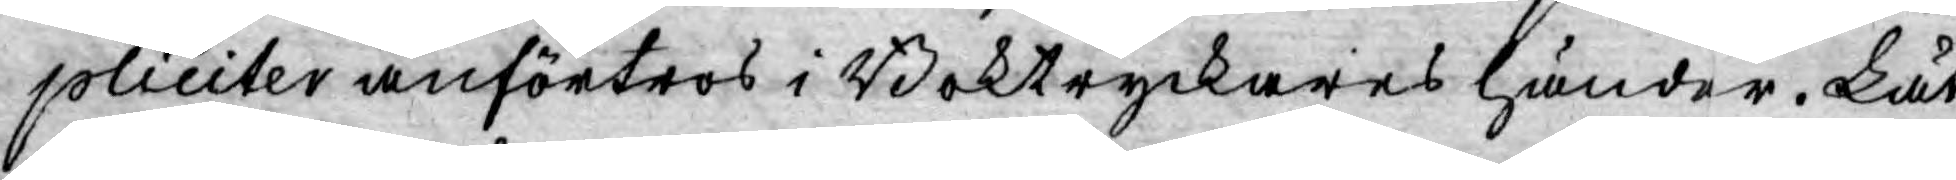pliciter anförtros i Boktryckares händer. Låt
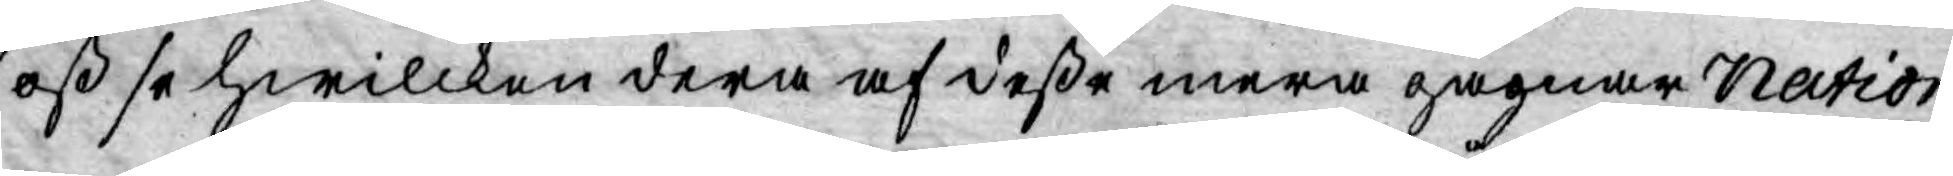oss se hwilcken dera af deße mera gagnar Nation
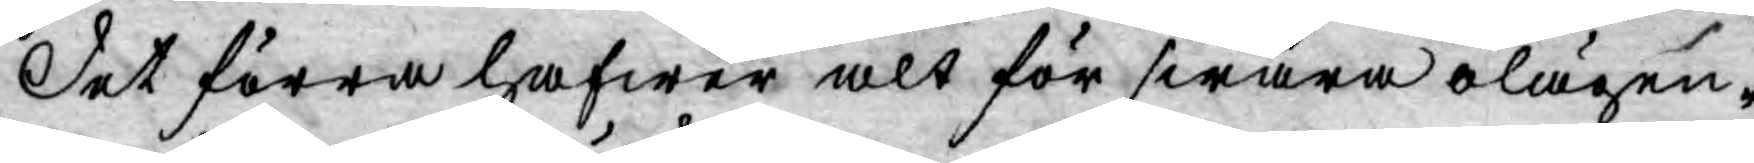Det förra hafwer alt för swåra olägen¬
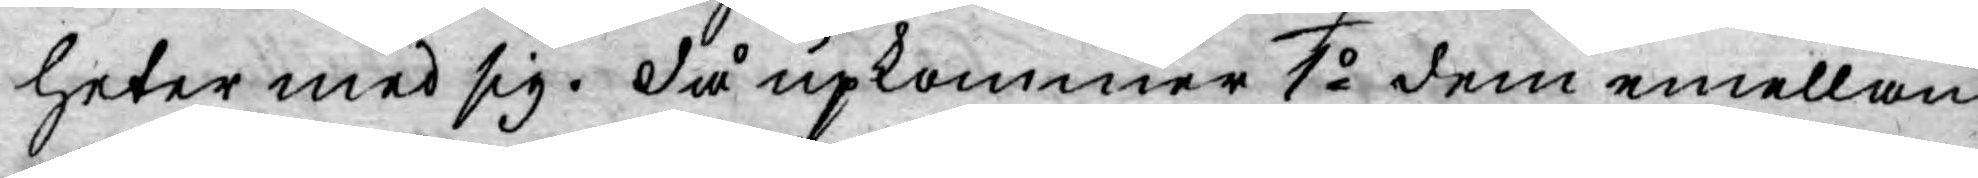heter med sig. då upkommer 1o dem emellan
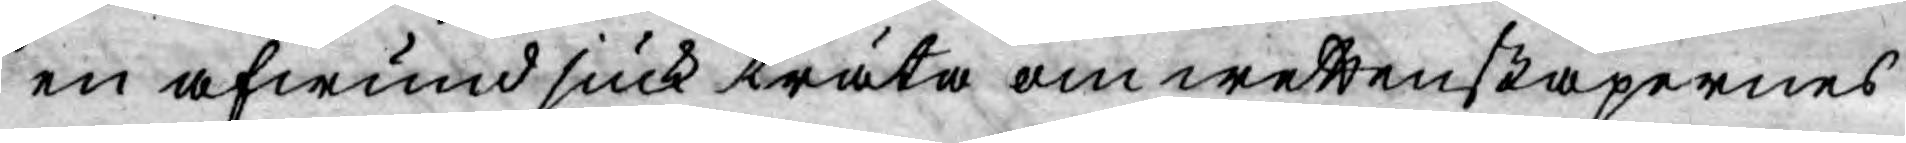en afwund siuk träta om wettenskapernes
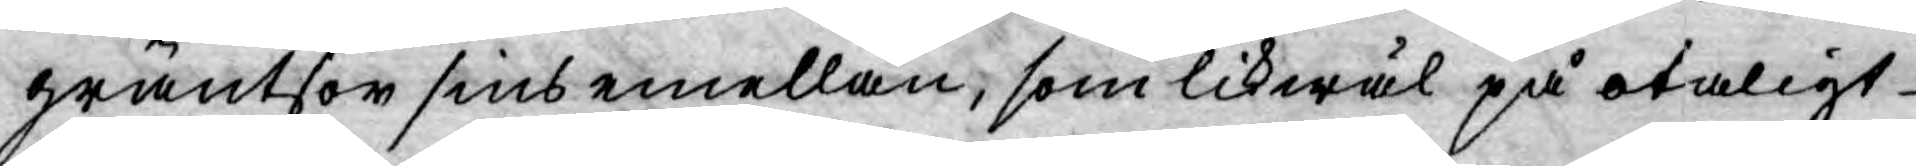gräntsor sins emellan, som likwäl på otaligt
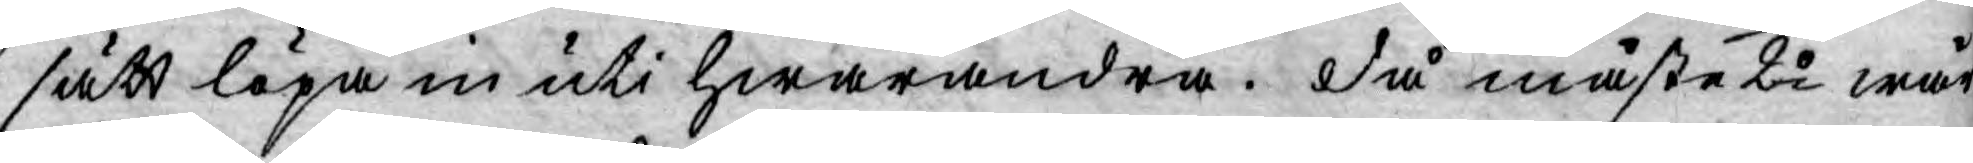sätt löpa in uti hwarandra. då måste 2o wår
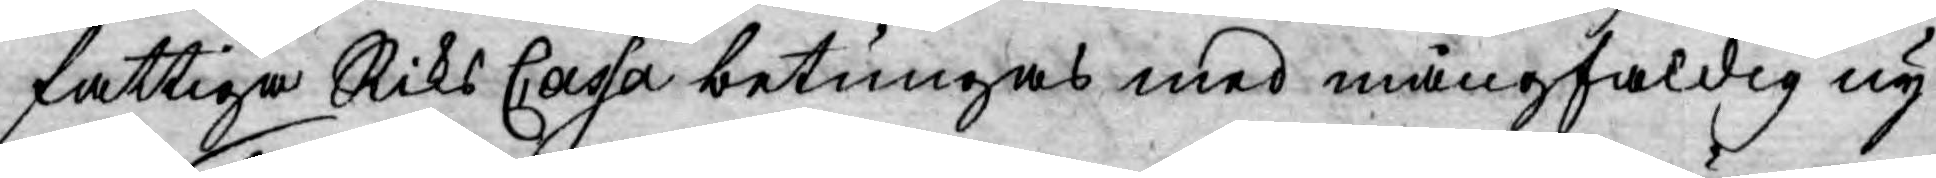fattiga Riks Cassa betungas med mångfaldig ny
